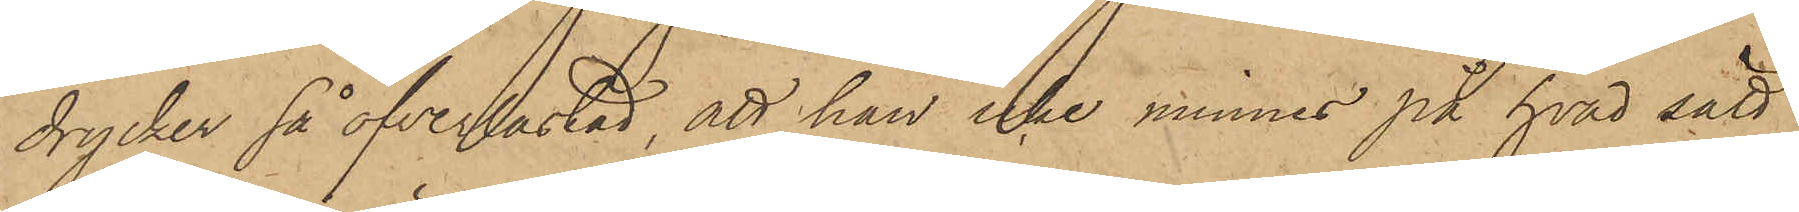drycker så öfverlastad, att han icke minnes på hvad sätt
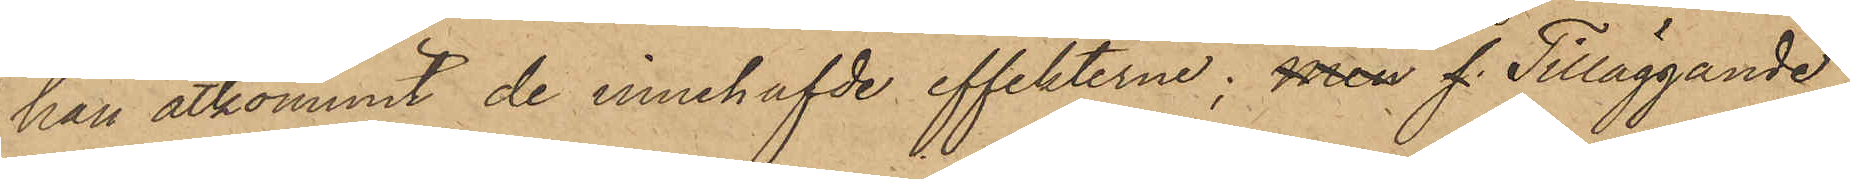han åtkommit de innehafvde effekterne; men f. Tilläggande
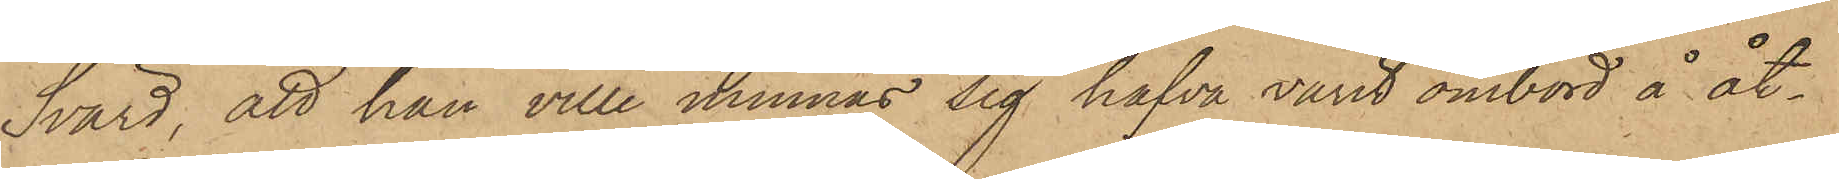Svärd, att han ville minnas sig hafva varit ombord å åt¬
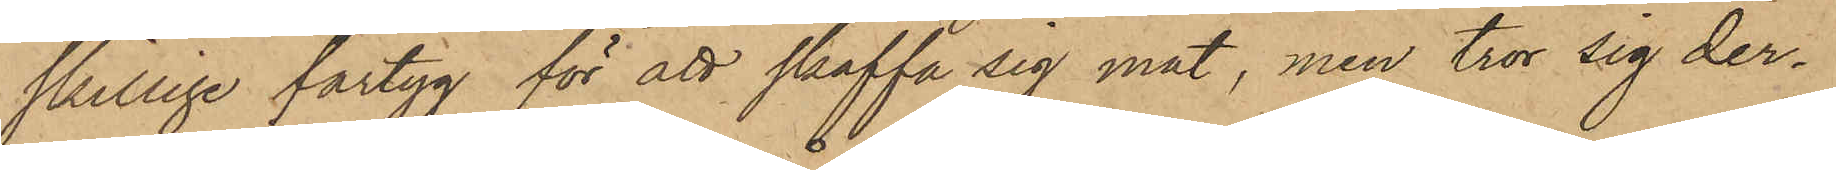skillige fartyg för att skaffa sig mat, men tror sig der¬
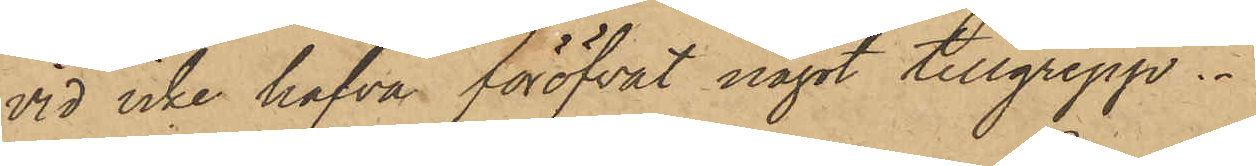vid icke hafva föröfvat något tillgrepp.
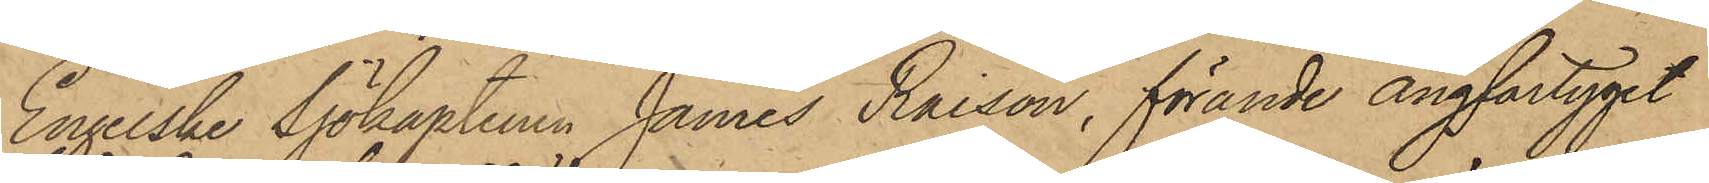Engelske Sjökaptenen James Raison, förande ångfartyget
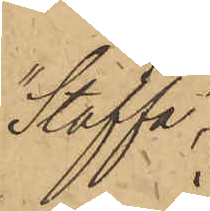"Staffa"
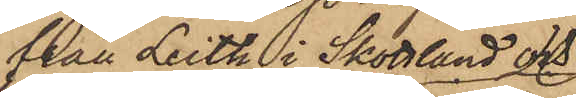från Leith i Skottlund och
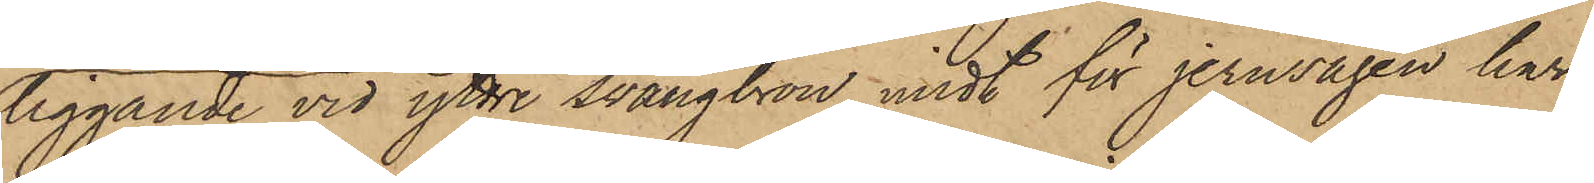liggande vid yttre svängbron midt för jernvågen har
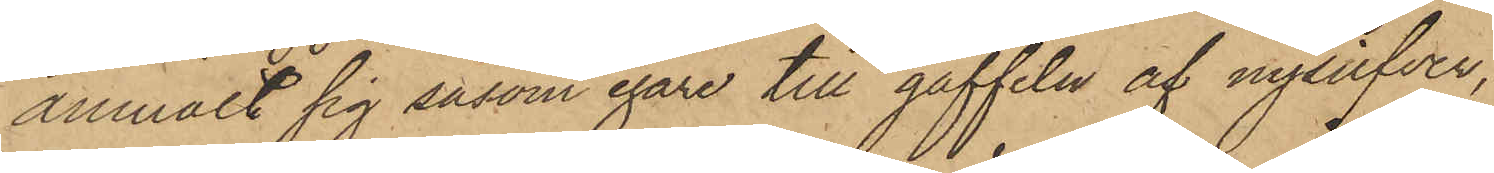anmält sig såsom egare till gaffeln af nysilfver,
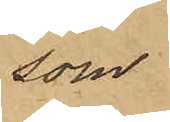som
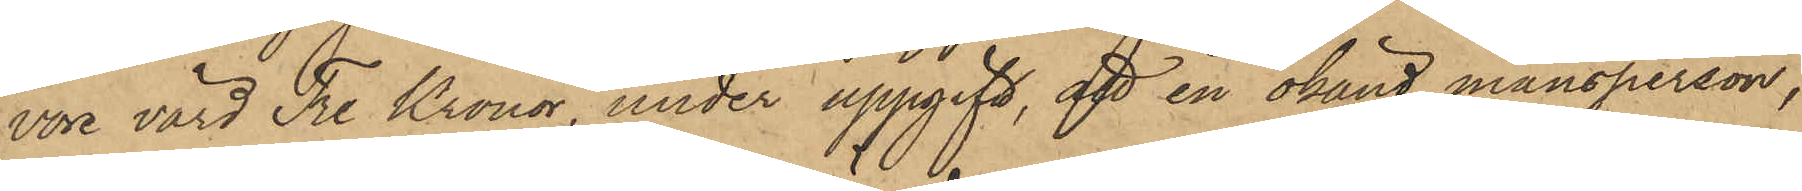vore värd Tre Kronor, under uppgift, att en okänd mansperson,
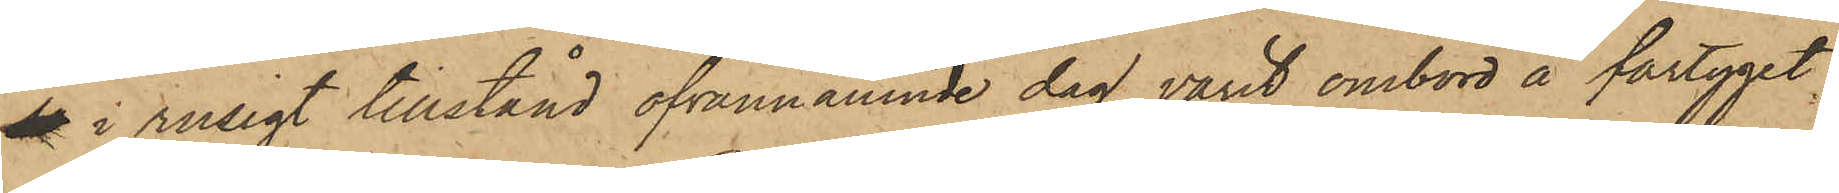se i rusigt tillstånd ofvannämnde dag varit ombord å fartyget,
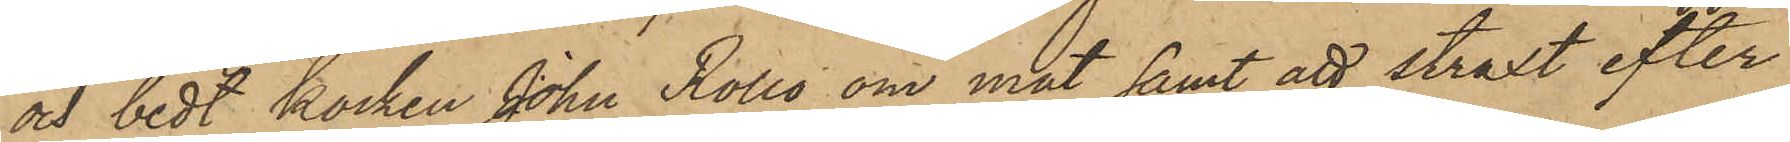och bedt kocken John Rolls om mat samt att straxt efter
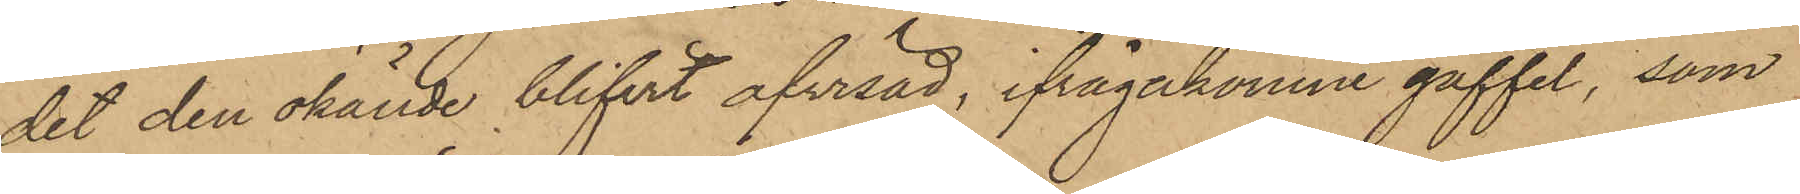det den okände blifvit afvisad, ifrågakomne gaffel, som
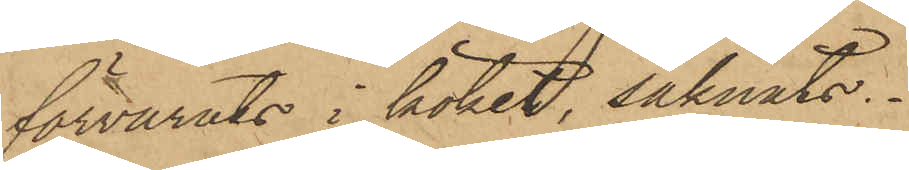förvarats i köket, saknats.
